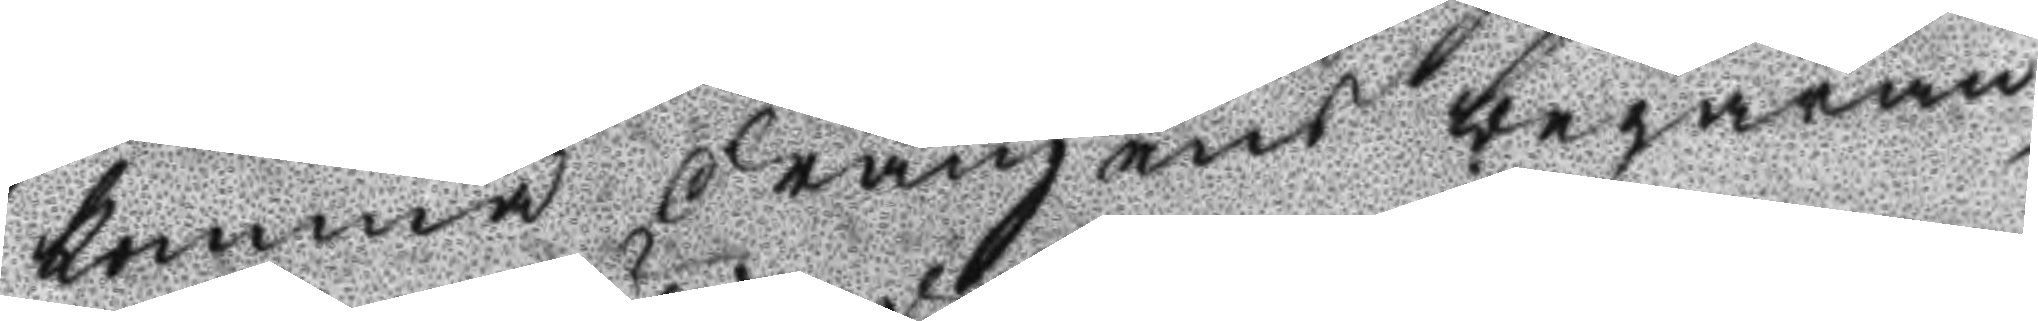komma drängens begäran
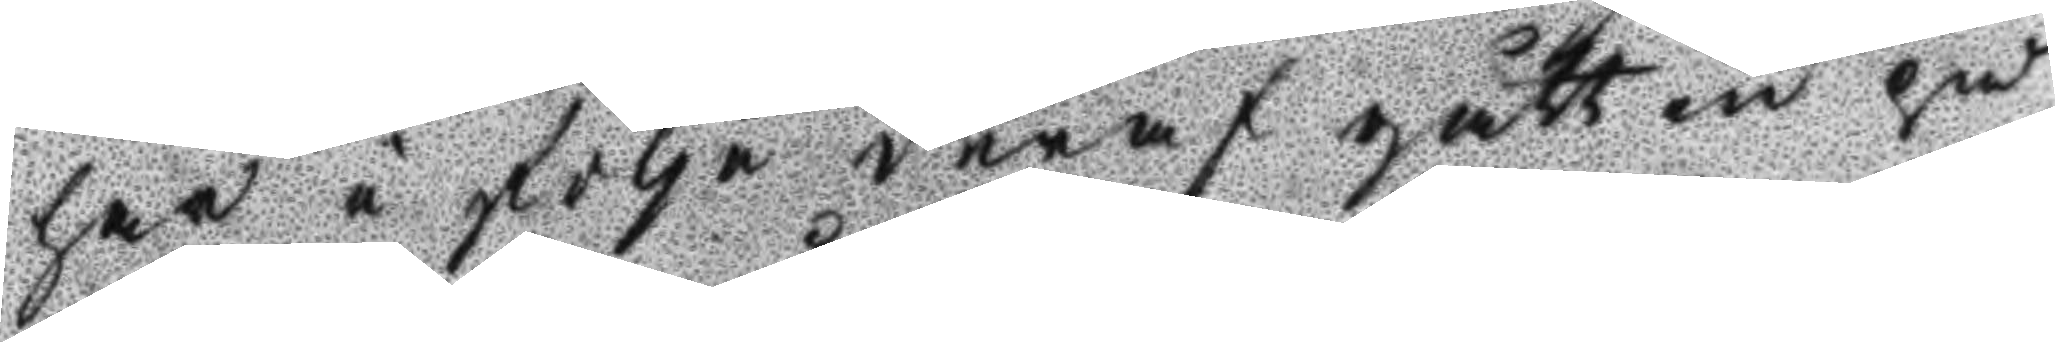har i följe deraf gått in på
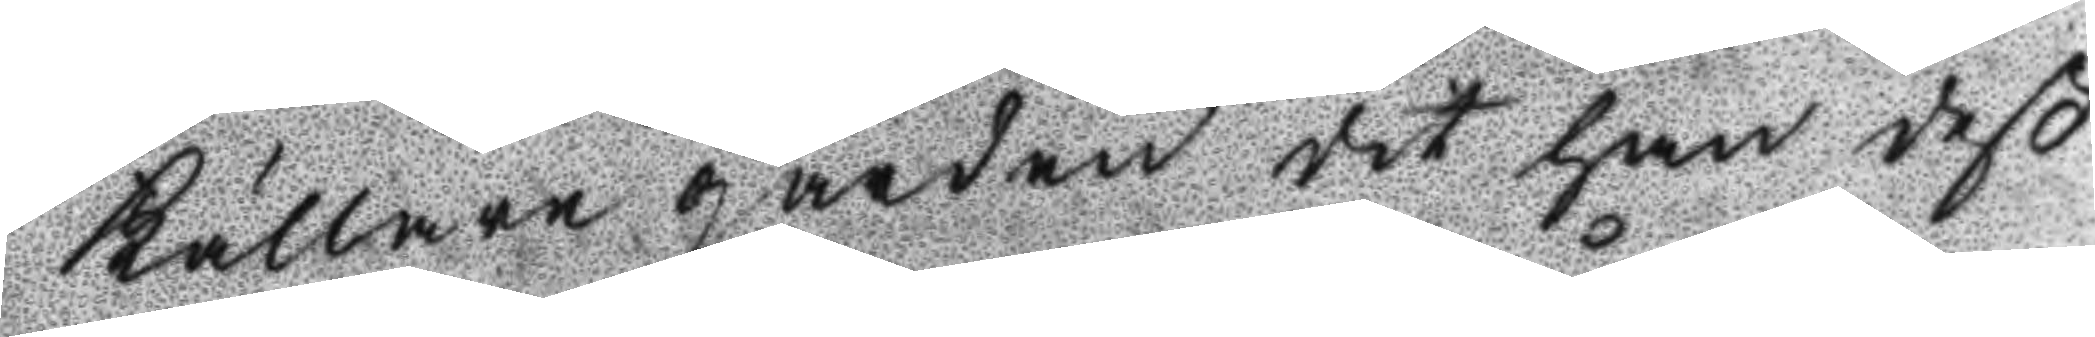Källare gården det han deß
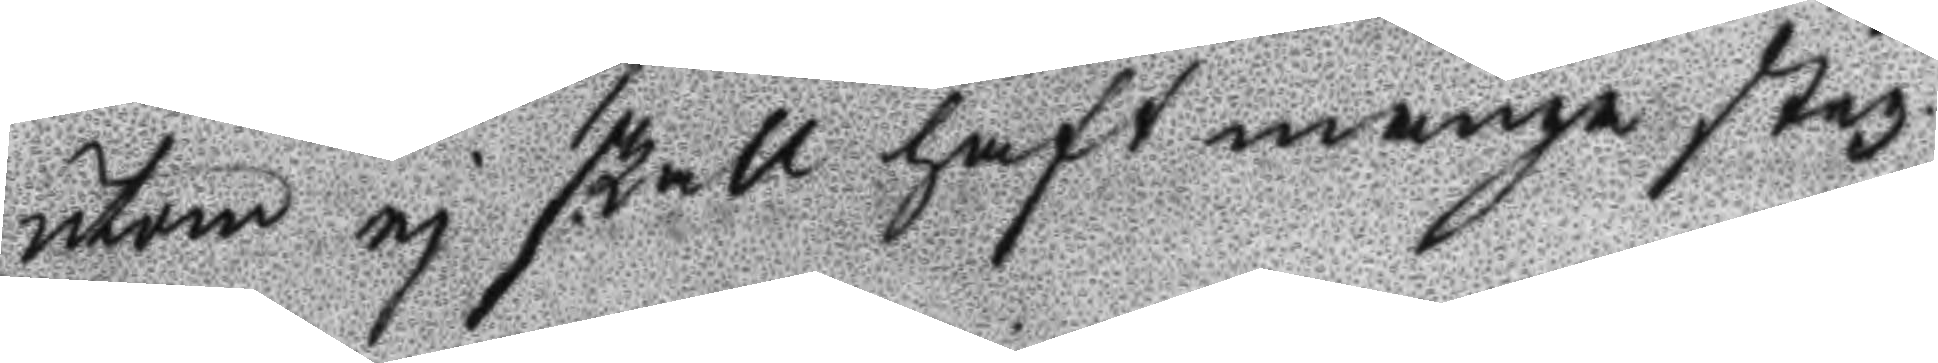utom ej skall haft många steg
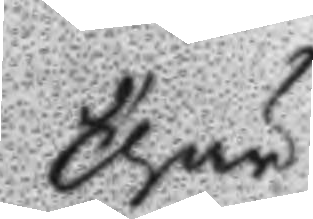thär
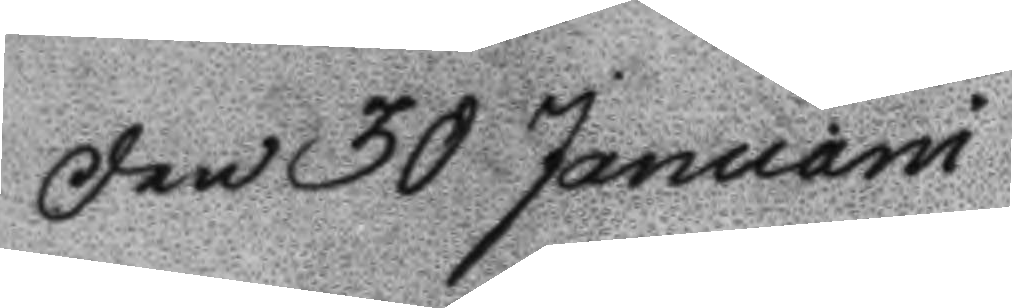Den 30 Januari
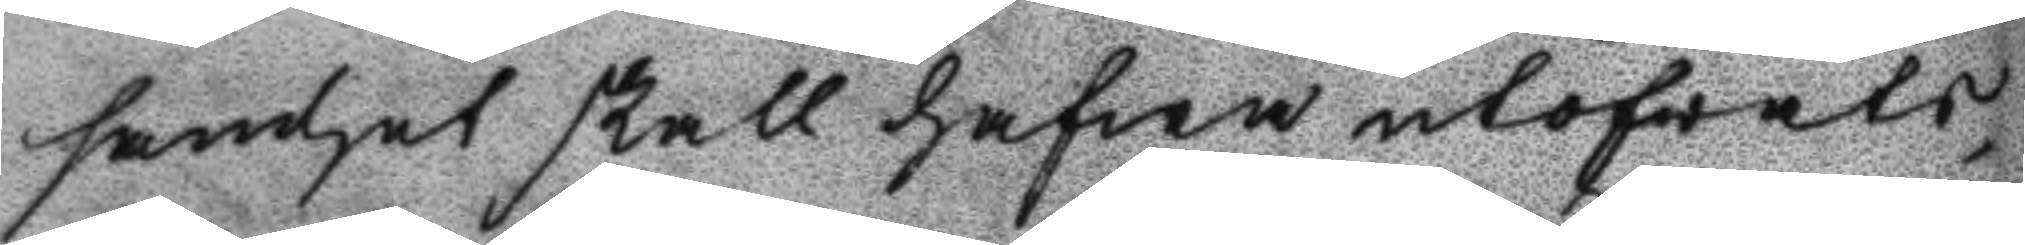samhet skall hafwa utöfvats,
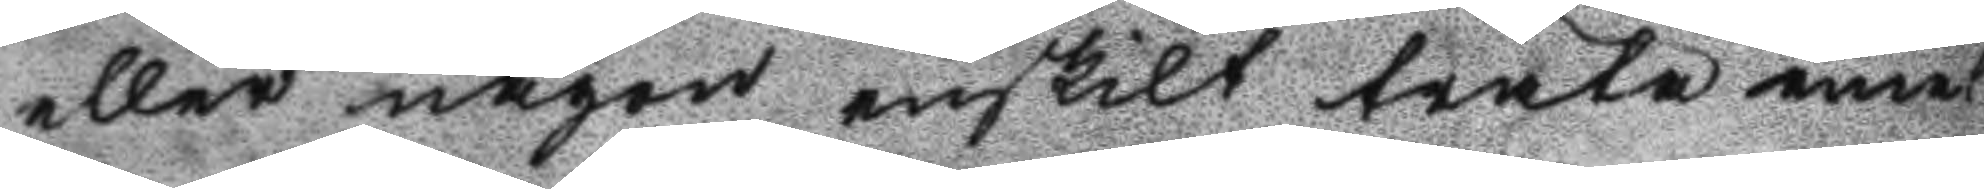eller nåon enskilt träta emot
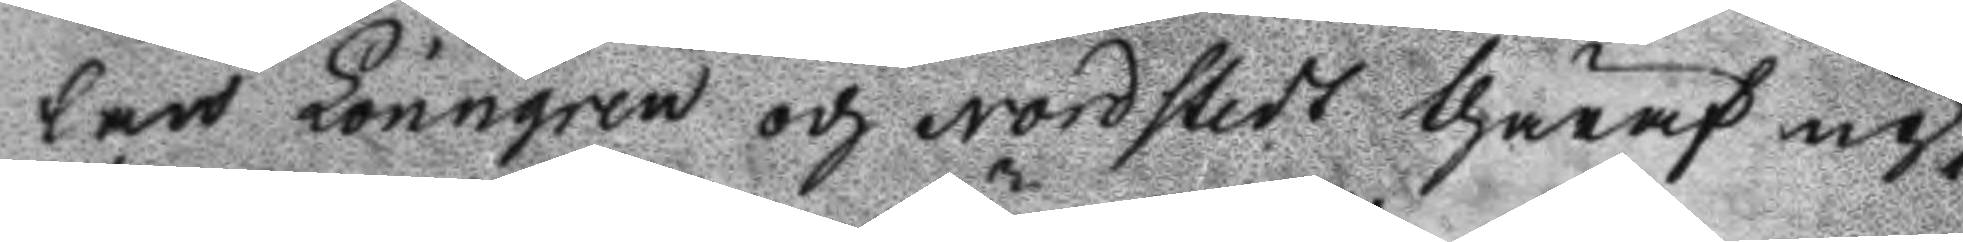lars Lönngren och Nordstedt thäraf up¬
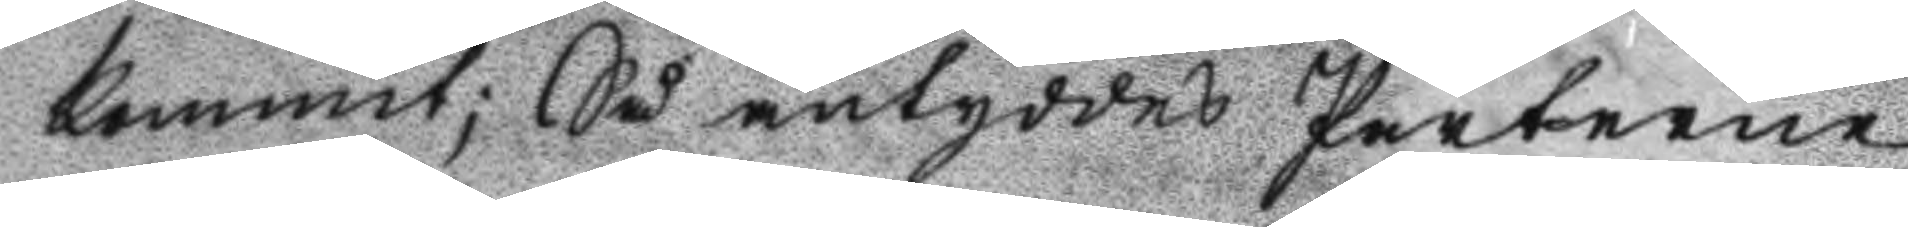kommit; Så antyddes Parterne
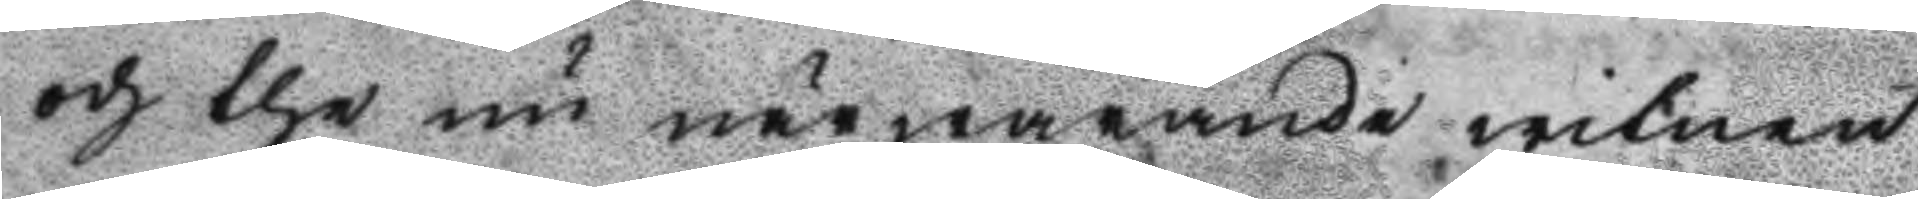och the nu närwarande witnen
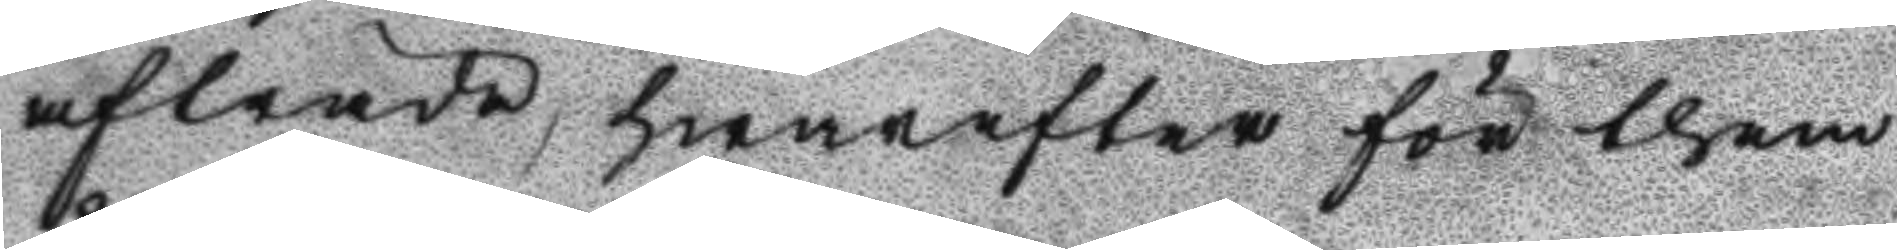afträda, hwarefter för them
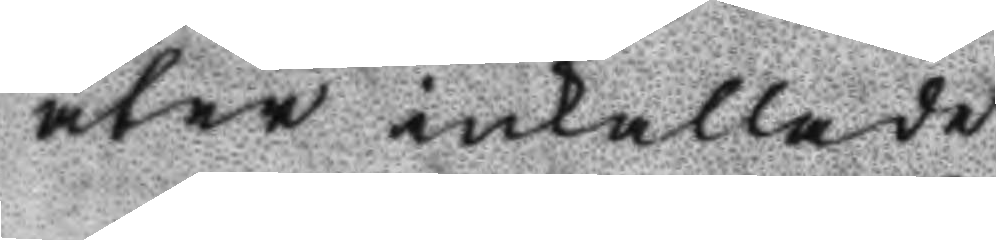åter inkallade
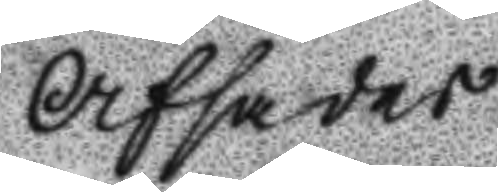Afsades
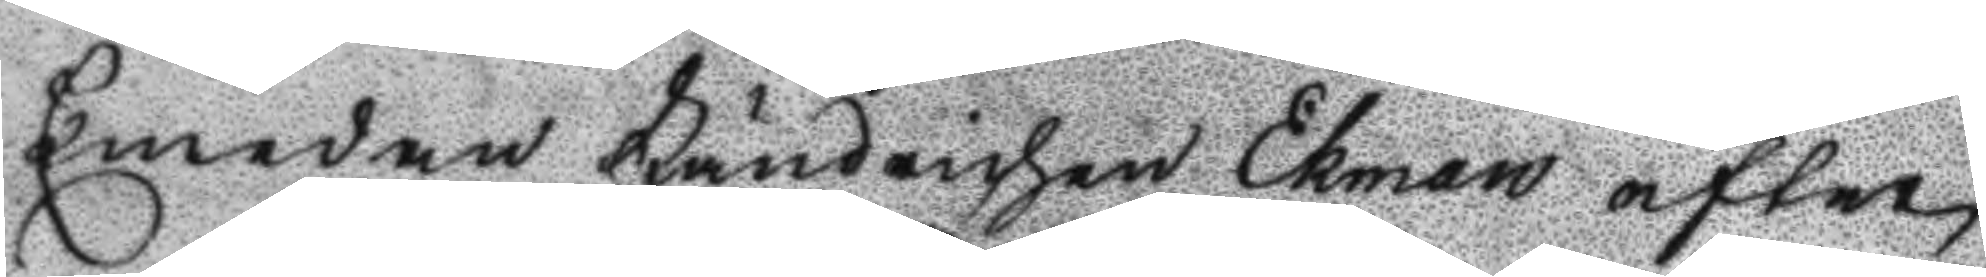Emedan Fändrichen Ekman efter
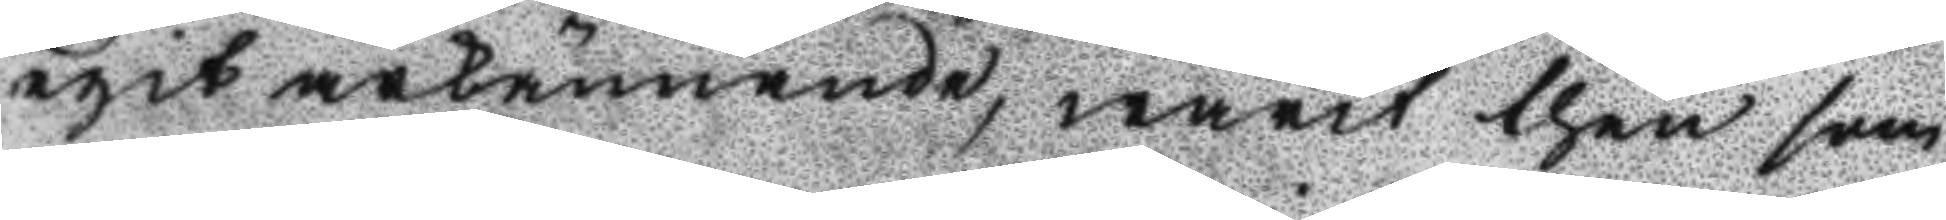egit ärkännande, warit then som
